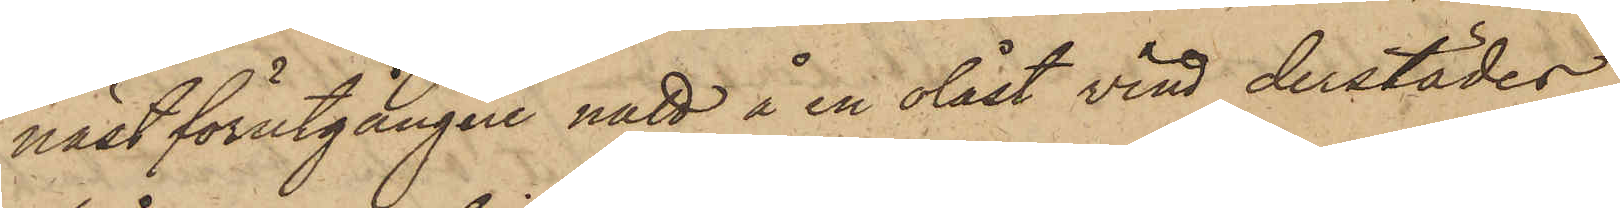näst förutgångne natt å en olåst vind derstädes
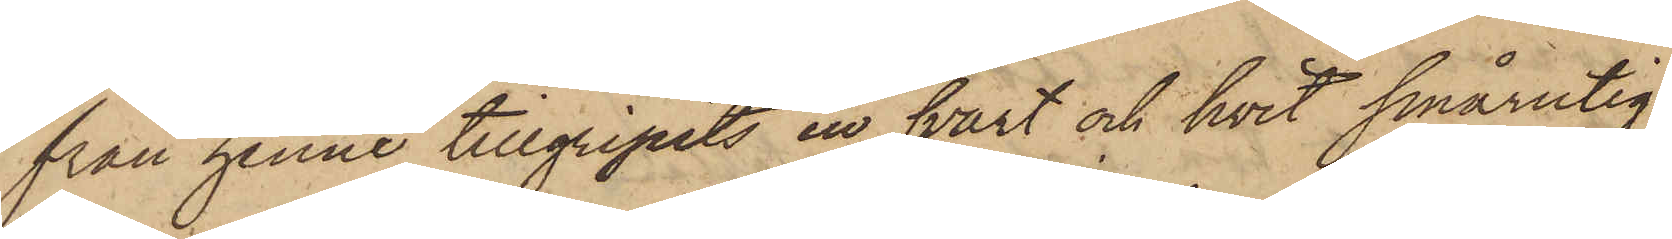från henne tillgripits en svart och hvit smårutig
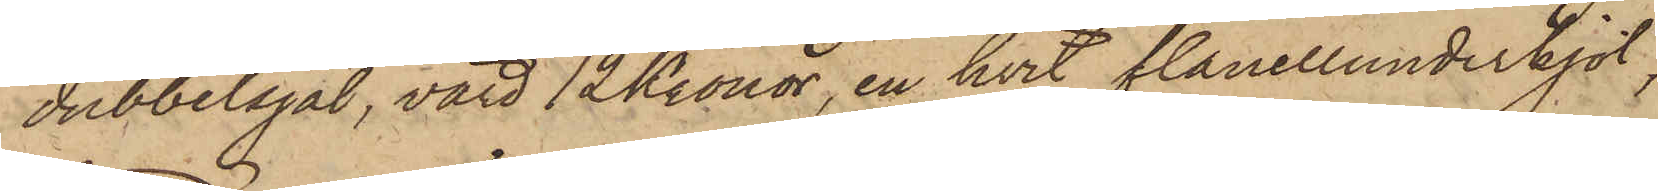dubbelsjal, värd 12 Kronor, en hvit flanellunderkjol,
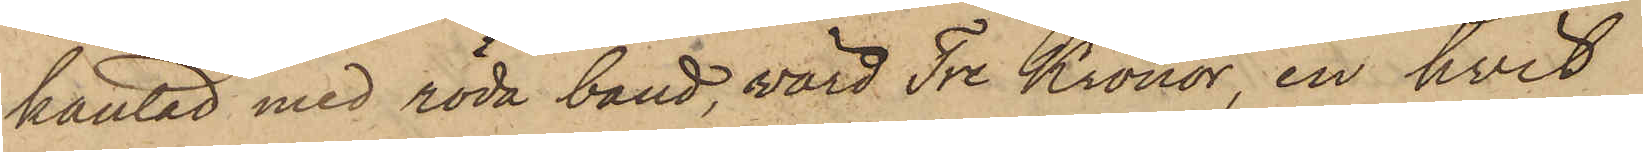käntad med röda band, värd Tre Kronor, en hvit
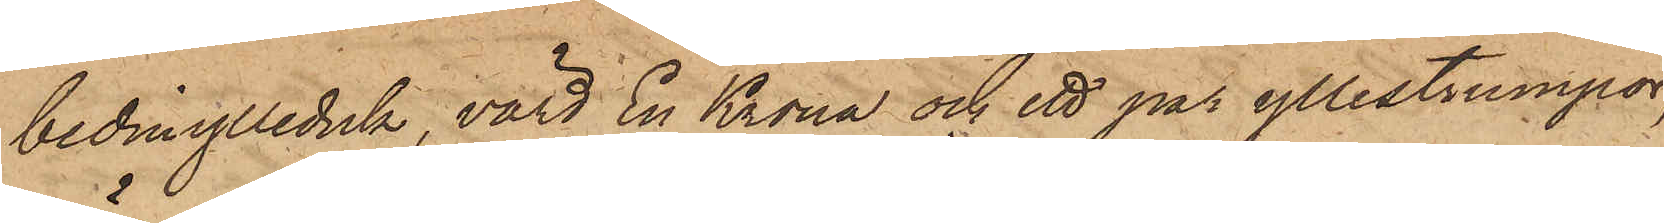beduiylleduk, värd En Krona och ett par yllestrumpor,
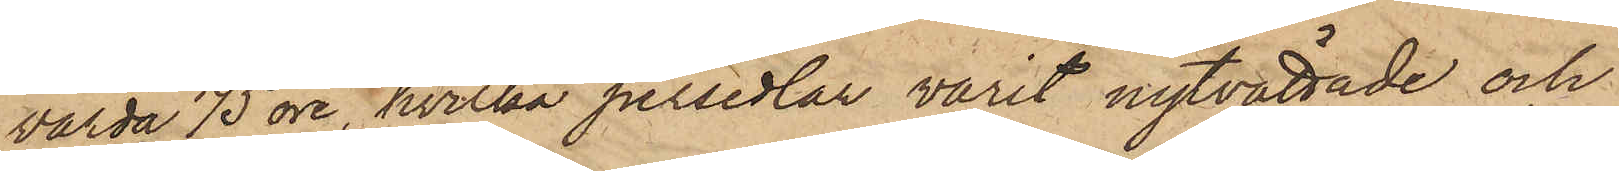värda 75 öre, hvilka persedlar varit nytvättade och
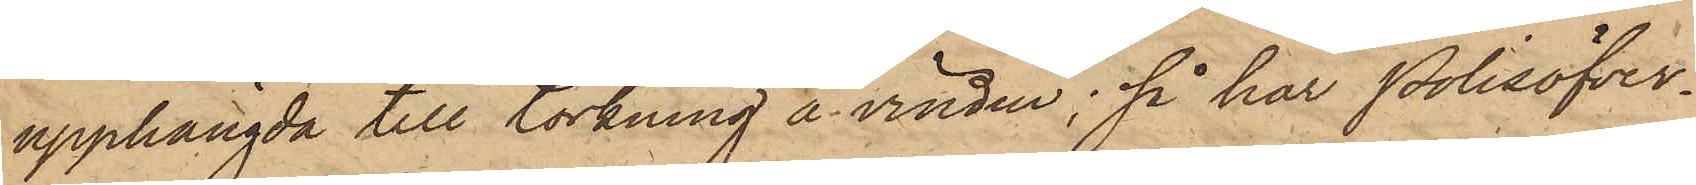upphängda till torkning å vinden; så har Polisöfver¬
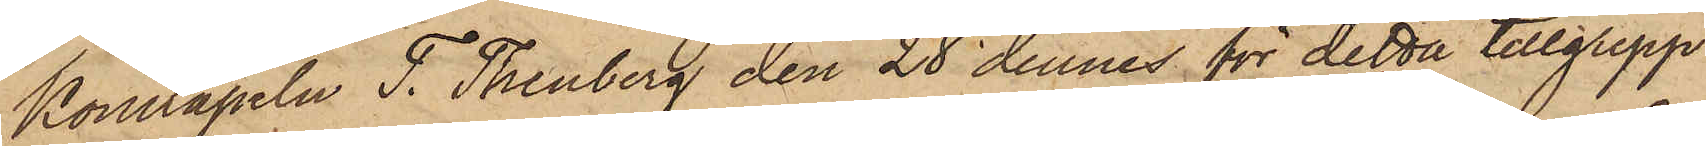Konstapeln T. Thenberg den 28 dennes för detta tillgrepp
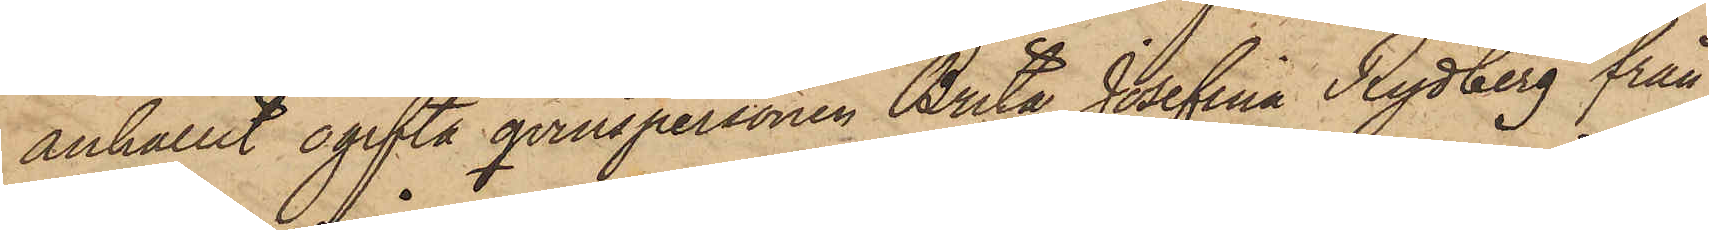anhållit ogifta qvinspersonen Brita Josefina Rydberg från
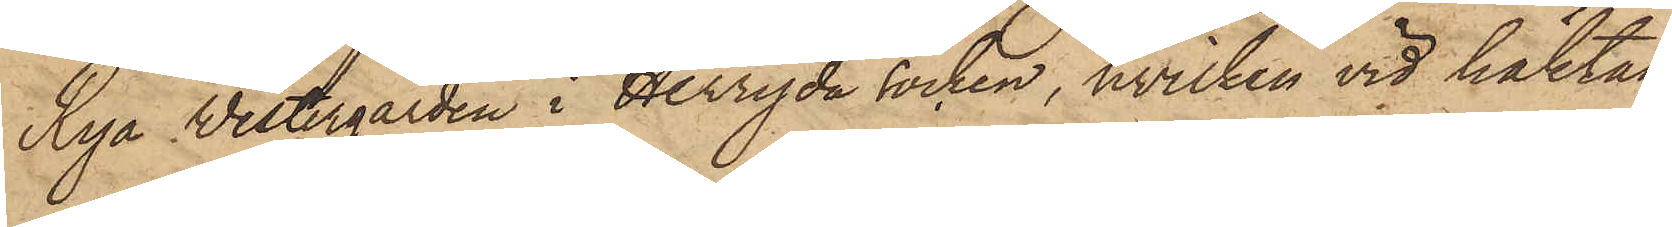Rya Westergården i Herryda Socken, hvilken vid häktan¬
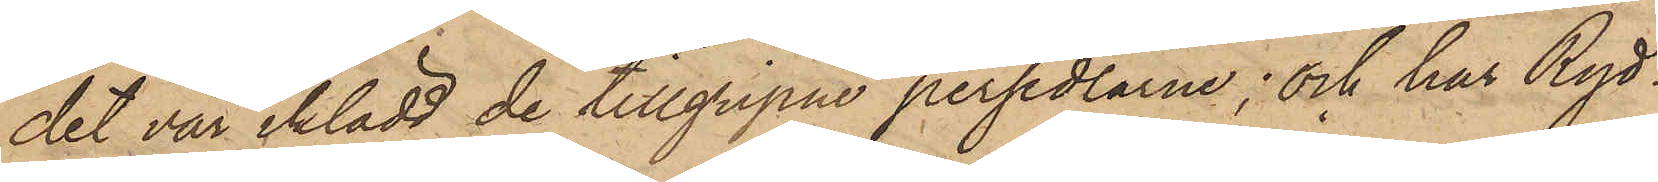det var iklädd de tillgripne persedlarne; och har Ryd¬
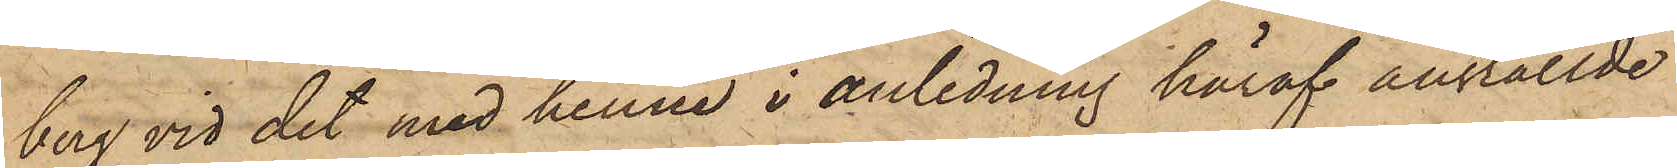berg vid det med henne i anledning häraf anställde
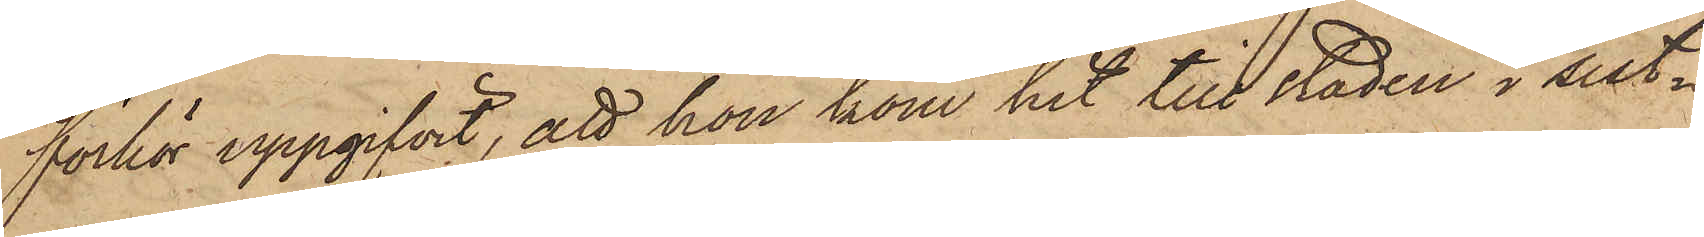förhör uppgifvit, att hon kom hit till staden i sist¬
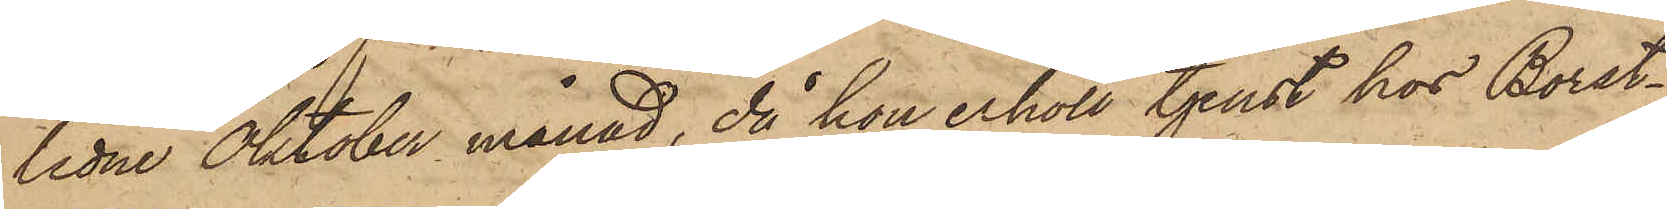lidne Oktober månad, då hon erhöll tjenst hos Borst¬
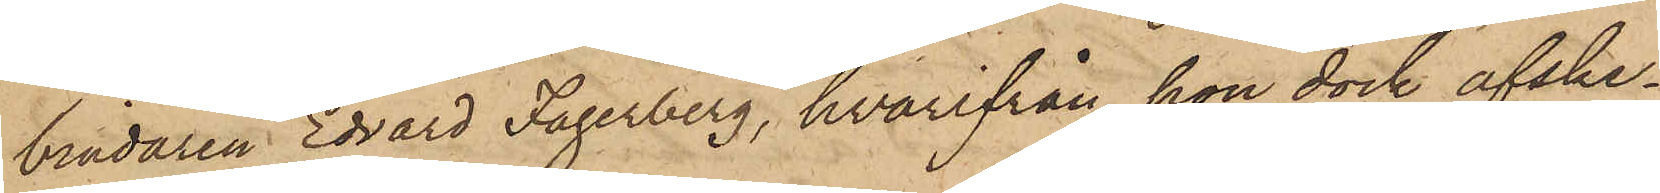bindaren Edvard Fagerberg, hvarifrån hon dock afske¬
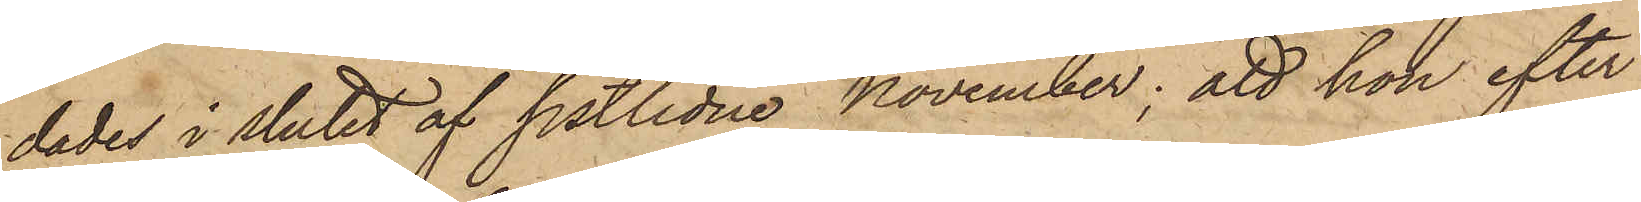dades i slutet af sistlidne November; att hon efter
